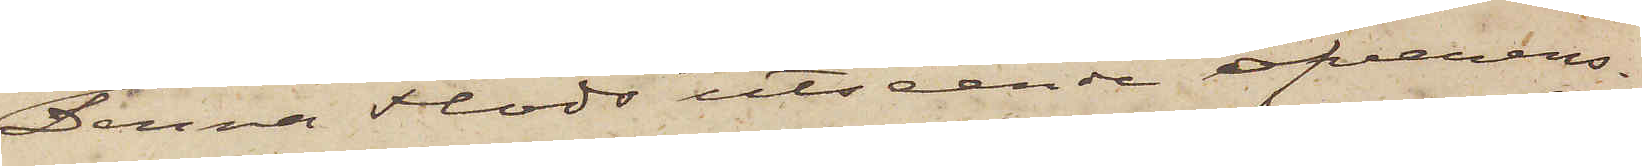Denna Flods utseende öfverens¬
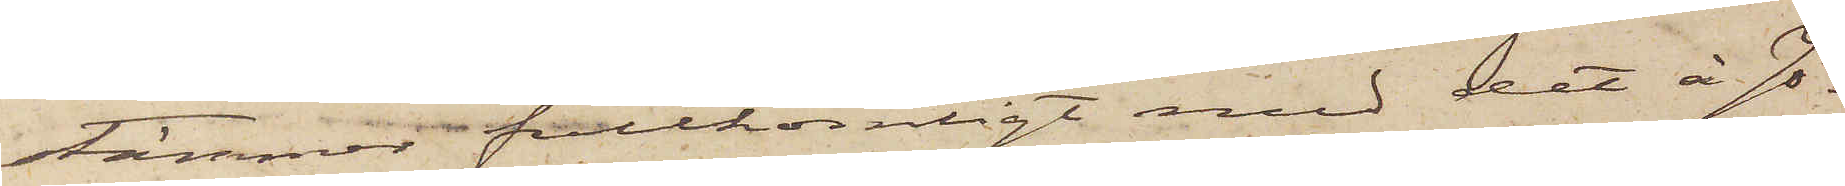stämmer fullkomligt med det å Jo¬
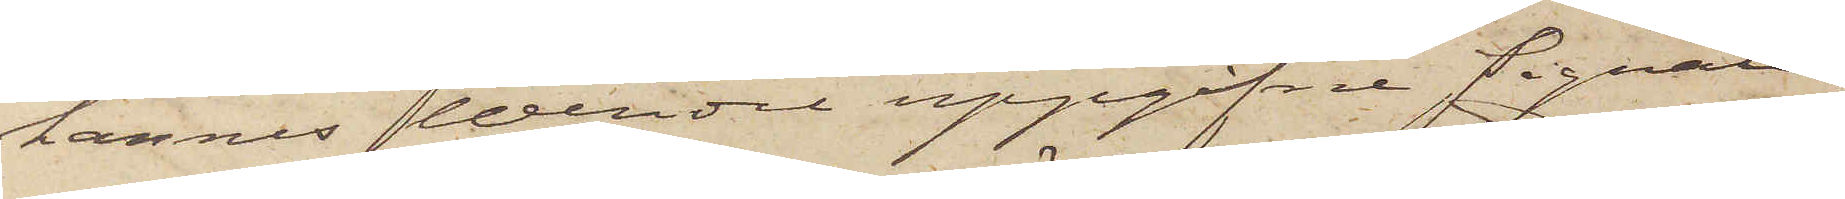hannes Wendel uppgifne signale¬
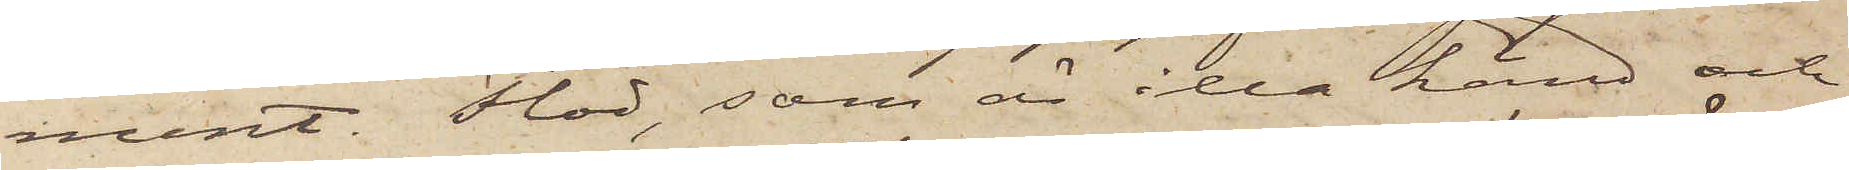ment. Flod, som är illa känd och
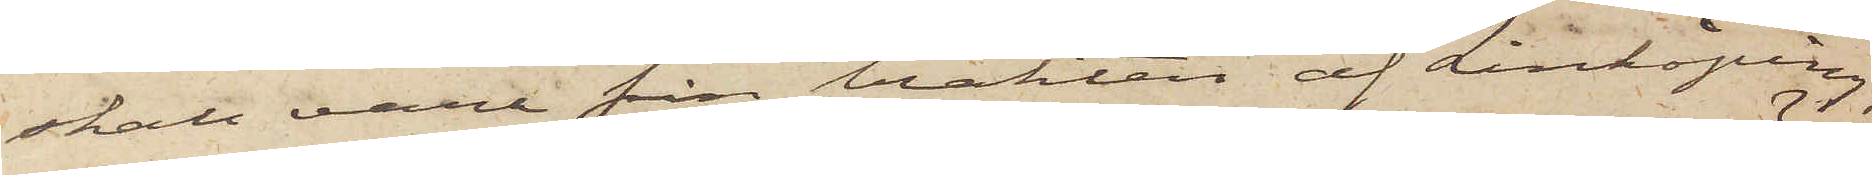skall vara från trakten af Linköping,
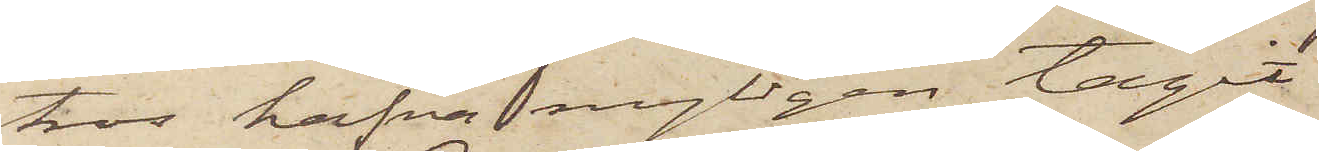tros hafva nyligen tagit
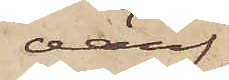värf¬
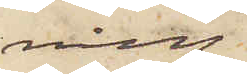ning
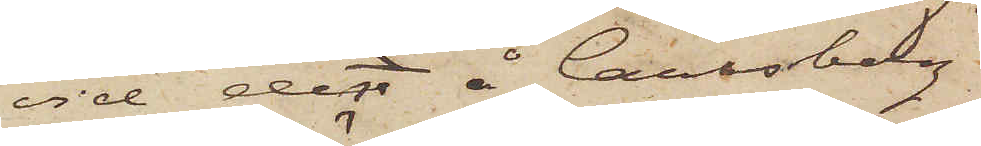vid den å Carlsborg
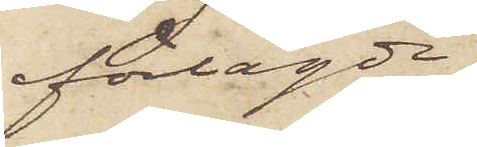förlagde
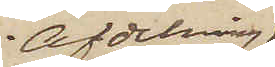Afdelning
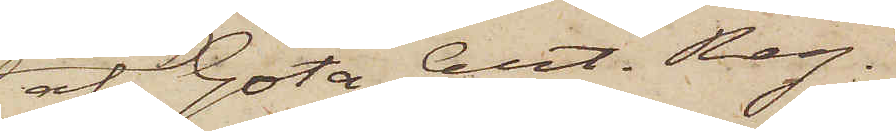af Göta Art. Reg.
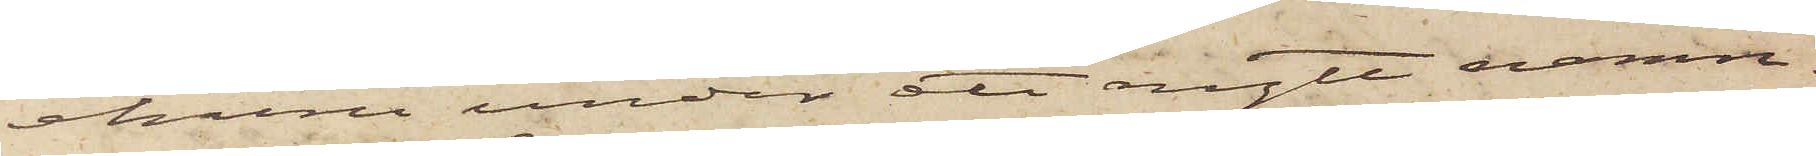ehuru under att nytt namn.
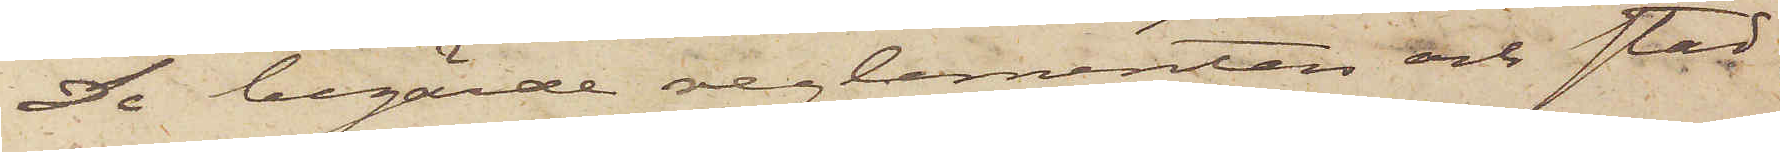De begärde reglementen och stad¬
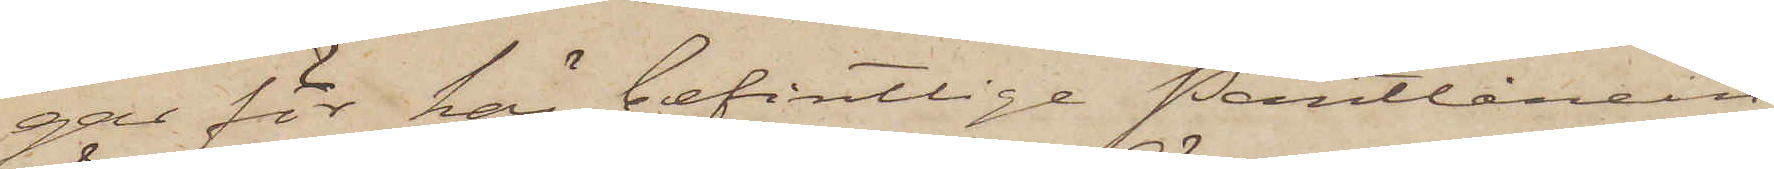gar för här befintlige Pantlånein¬
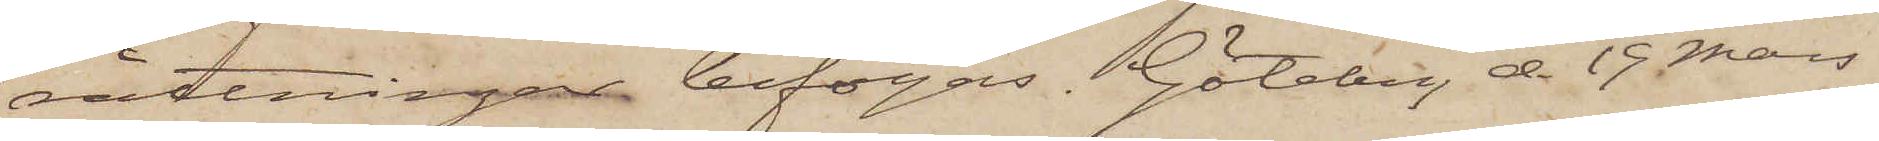rättningar bifogas. Göteborg d. 19 Mars
